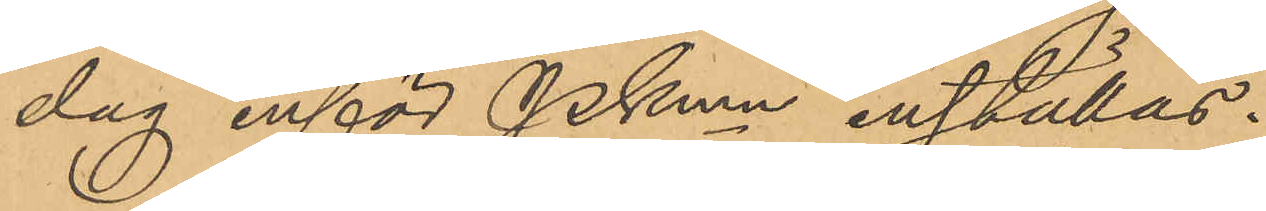dag inför Pkmn inställas.
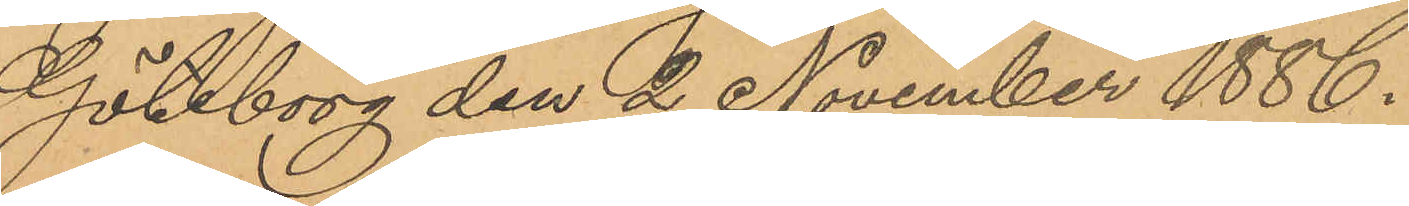Göteborg den 2 November 1886.
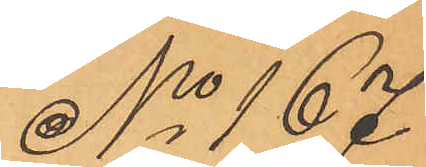No 167
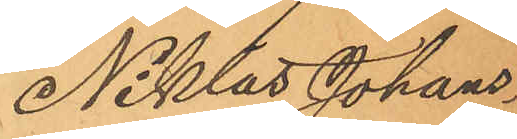Niklas Johans¬
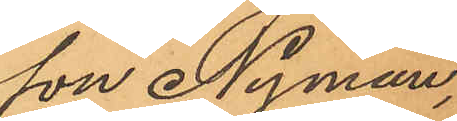son Nyman,
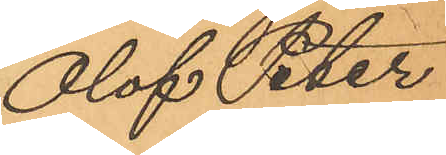Olof Peter
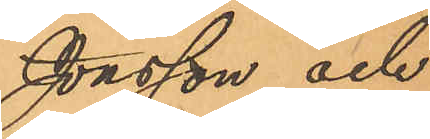Jonsson och
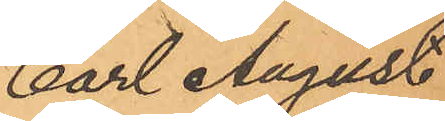Carl August
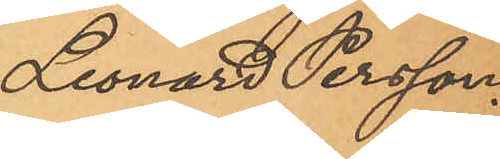Leonard Persson.
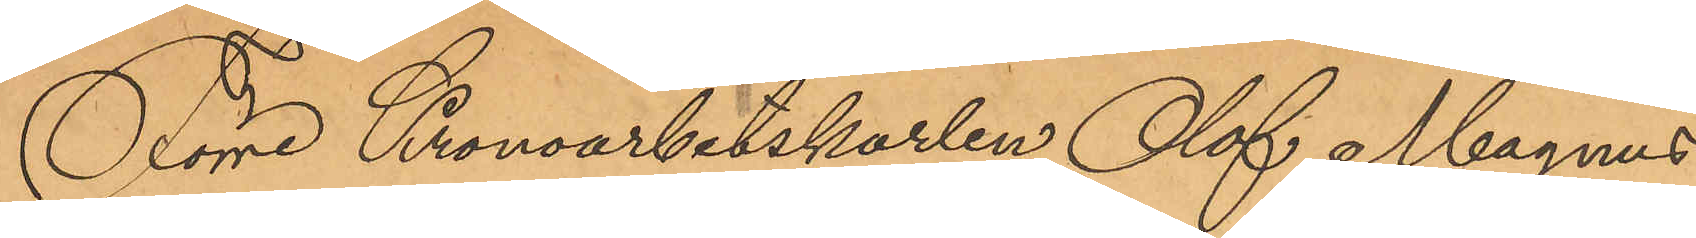Förre Kronoarbetskarlen Olof Magnus
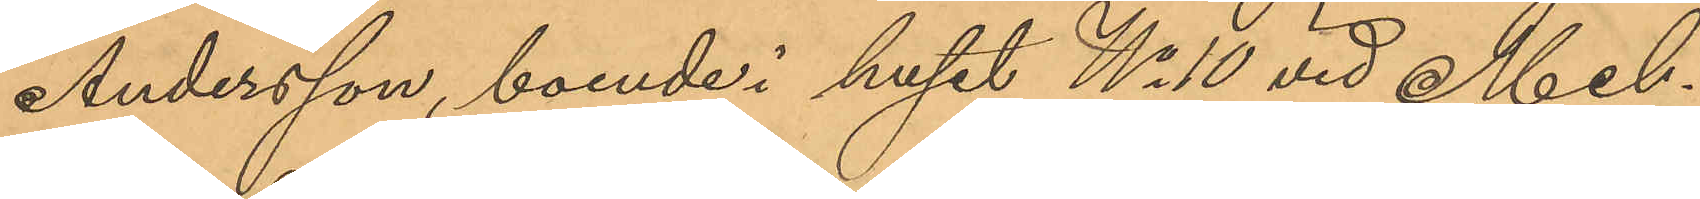Andersson, boende i huset No 10 vid Mel¬
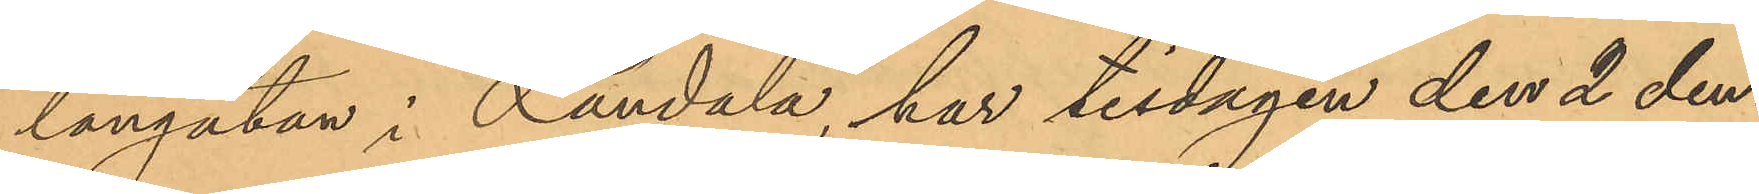langatan i Landala, har tisdagen den 2 den¬
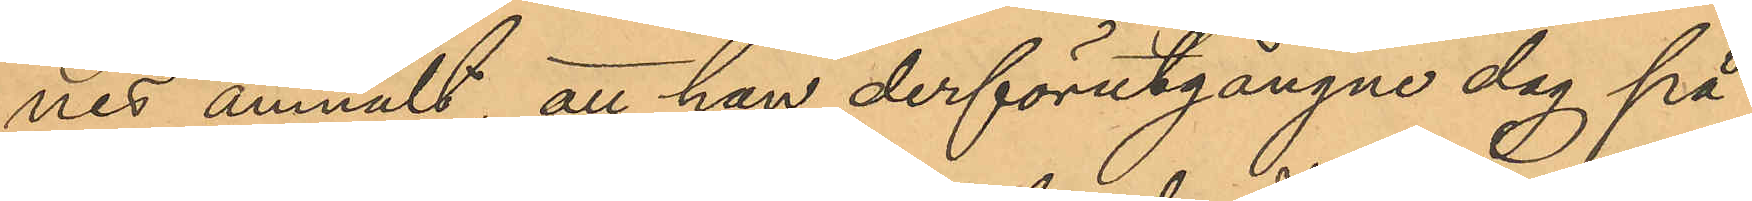nes anmält, att han derförutgångne dag på
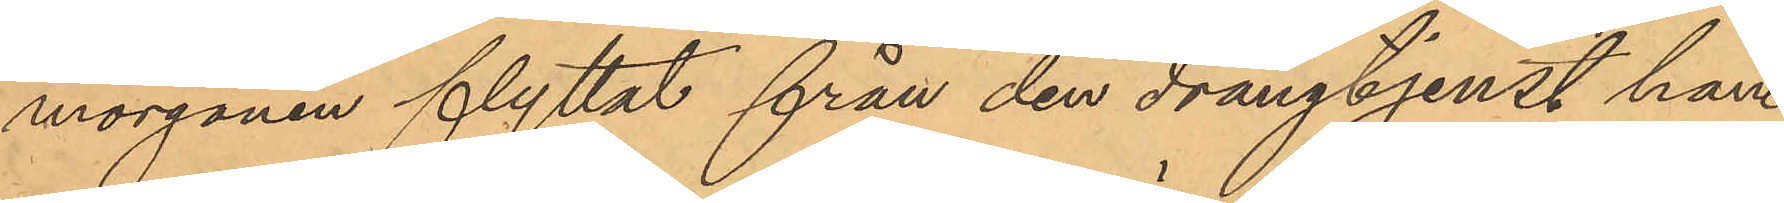morgonen flyttat från den drängtjenst han
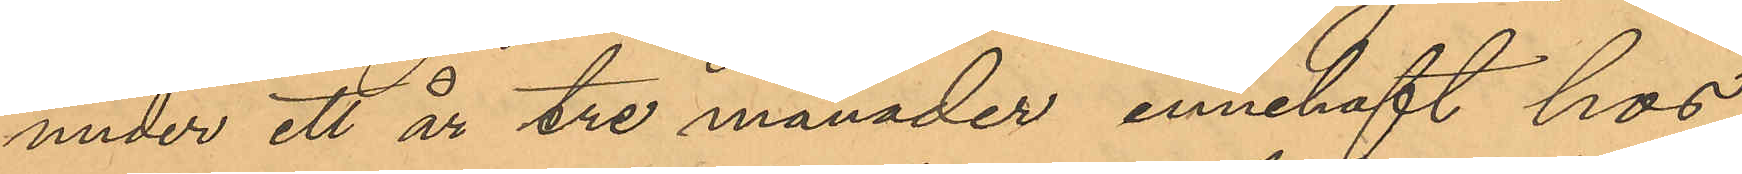under ett år tre månader innehaft hos
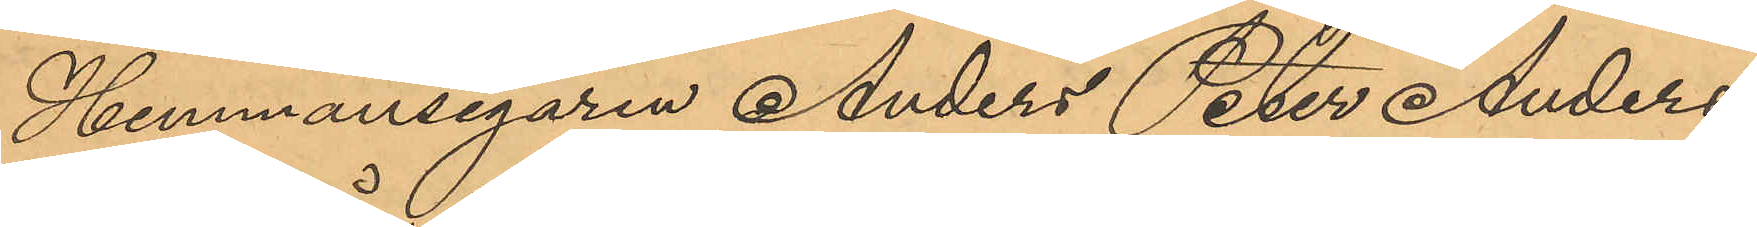Hemmansegaren Anders Peter Anders¬
